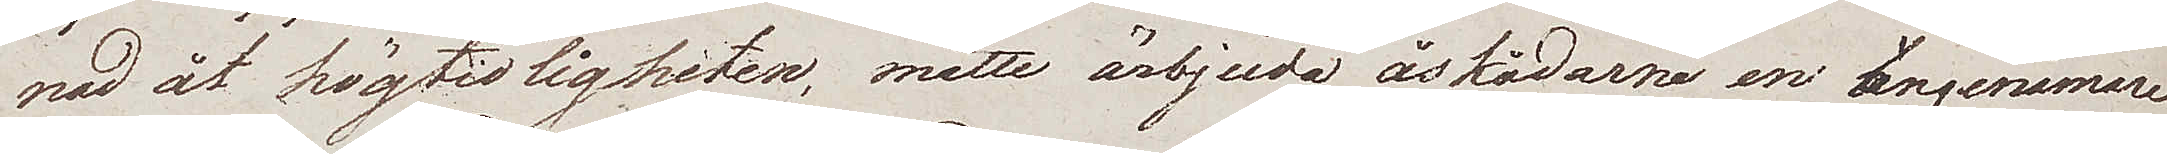nad åt högtidligheten, måtte ärbjuda åskådarne en angenämare
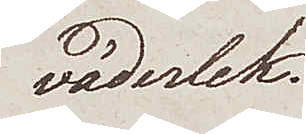väderlek.
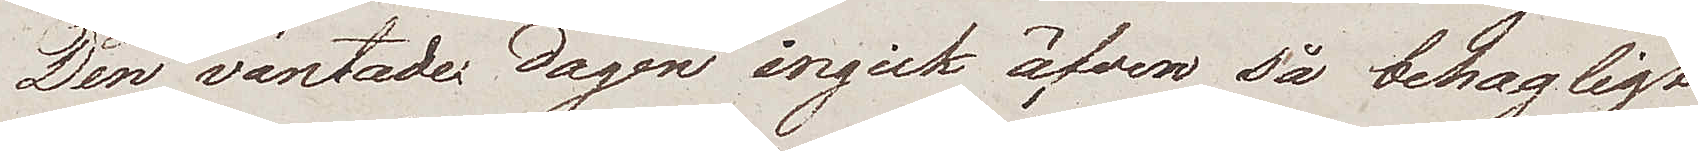Den väntade dagen ingick äfven så behagligt
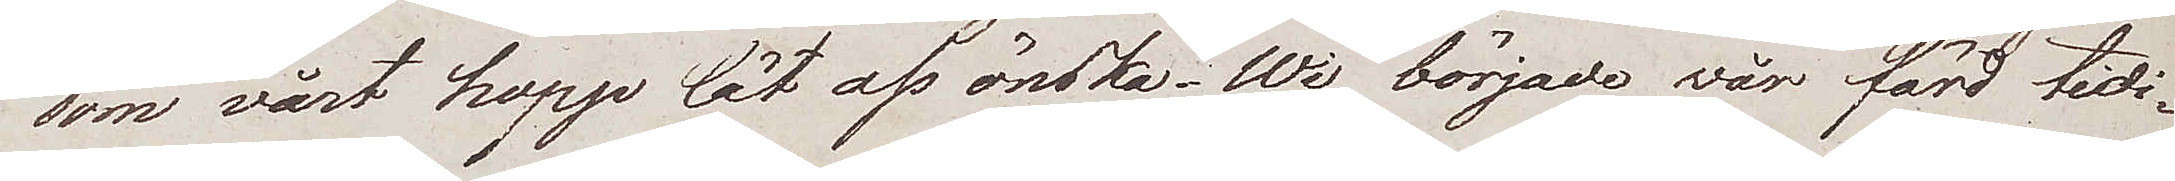som vårt hopp lät oss önska. Wi började vår färd tidi¬
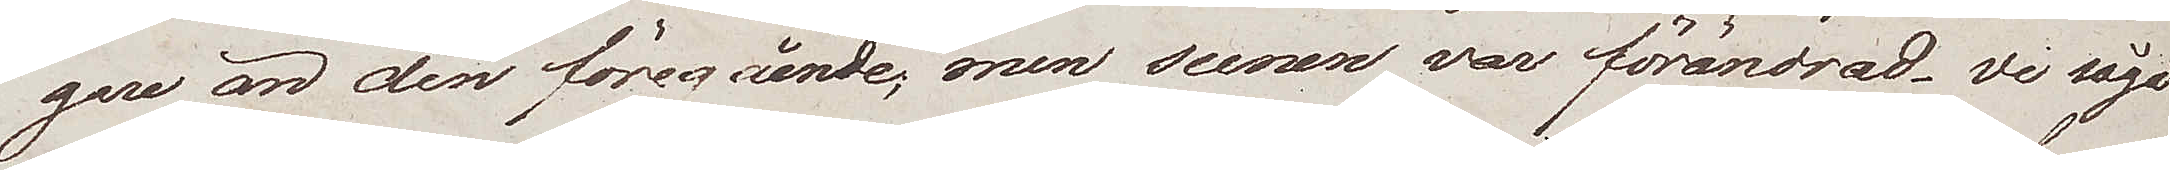gare än den föregående, men scenen var förändrad. Vi sågo
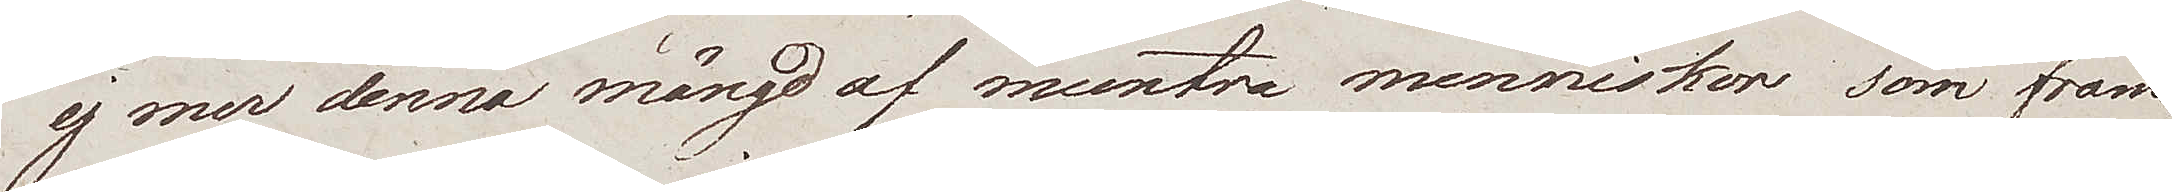ej mer denna mängd af muntra menniskor, som fram¬
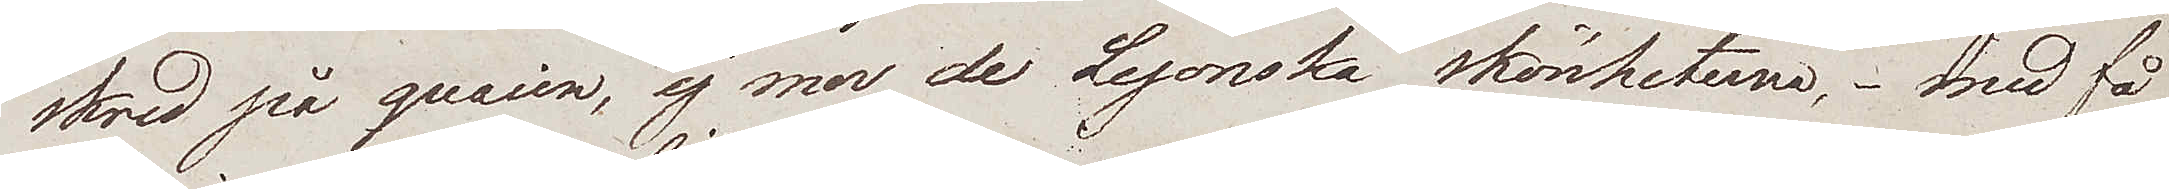skred på quaien, ej mer de Lyonska skönheterna, – med få
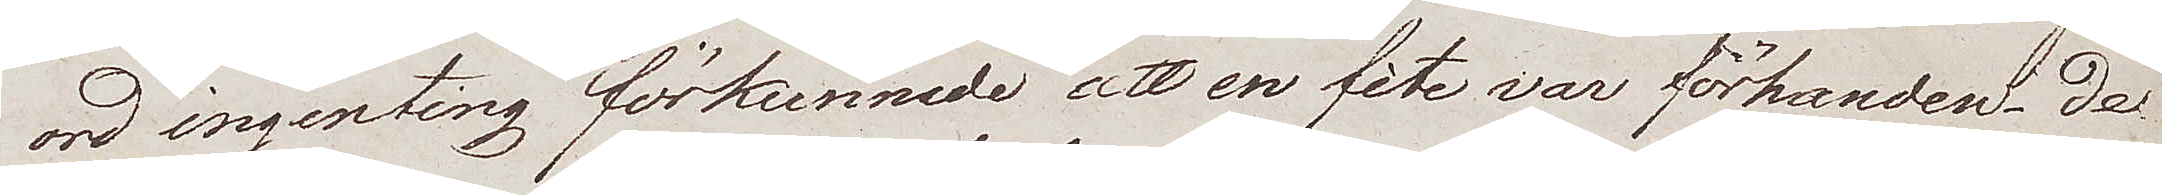ord ingenting förkunnade att en fête var förhanden. De
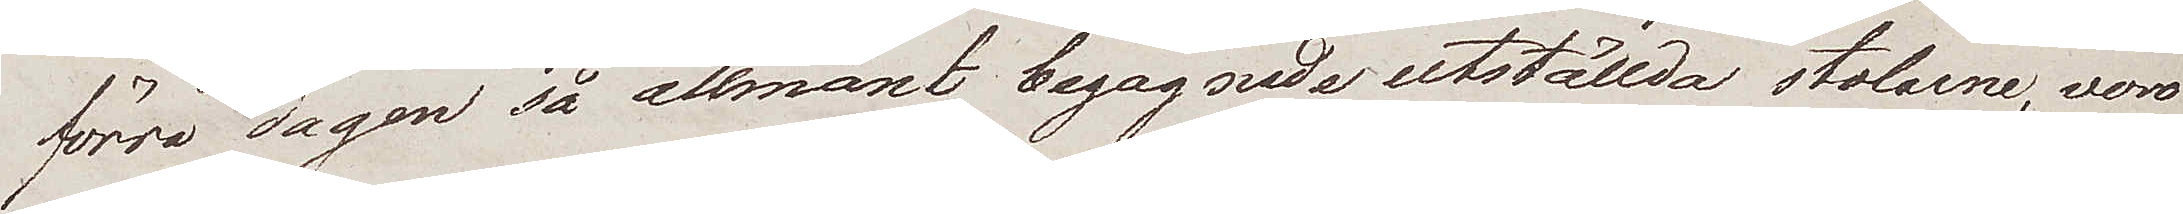förra dagen så allmänt begagnade utställda stolarne, voro
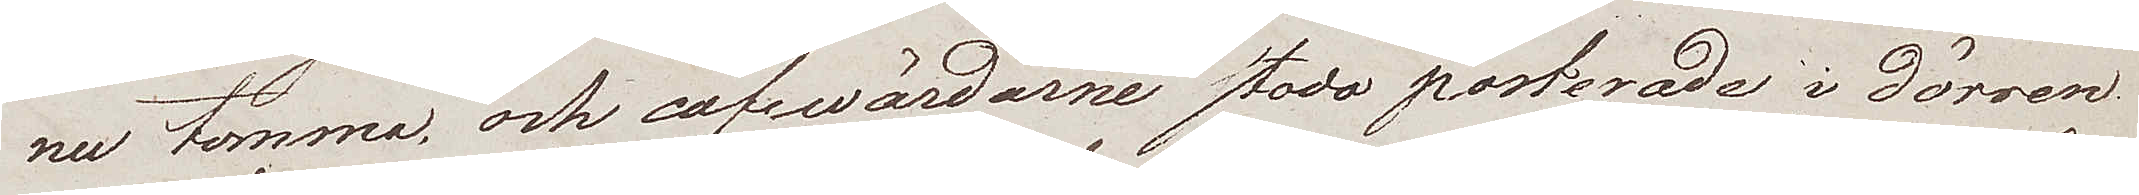nu tomma och cafévärdarne stodo posterade i dörren
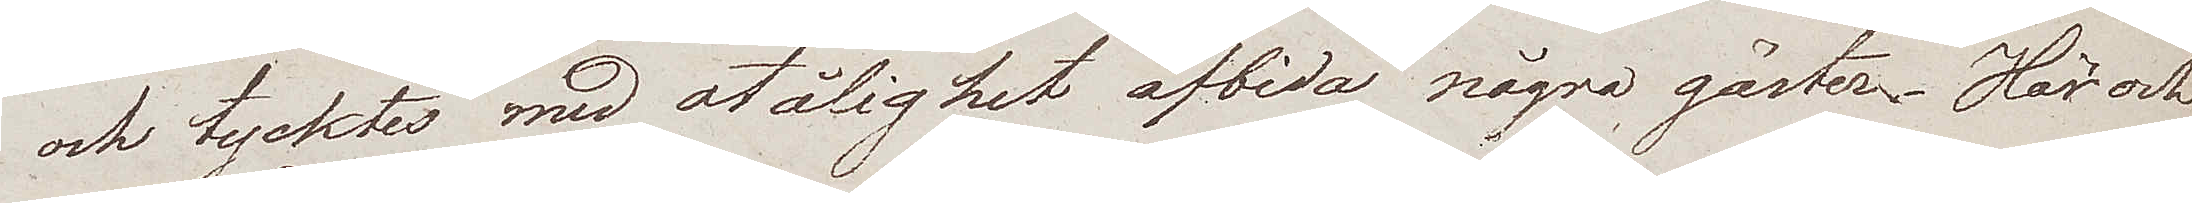och tycktes med otålighet afbida några gäster. Här och
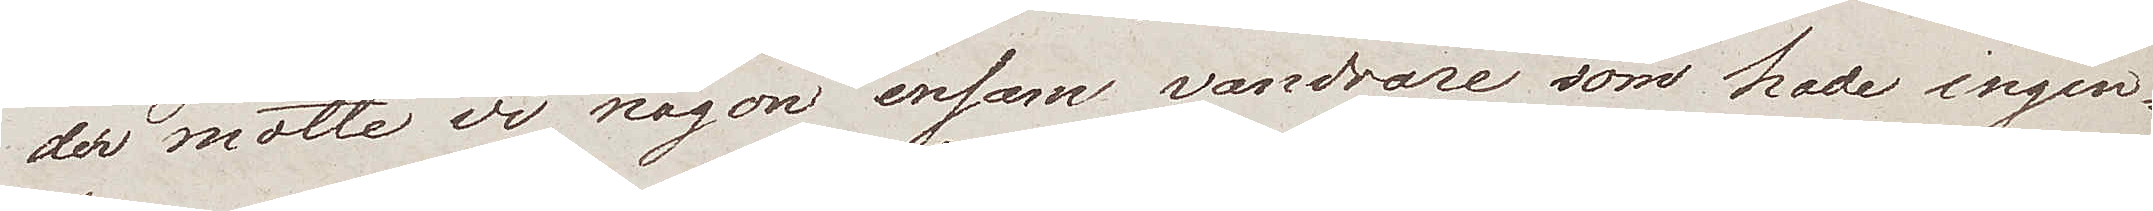der mötte vi någon ensam vandrare som hade ingen¬
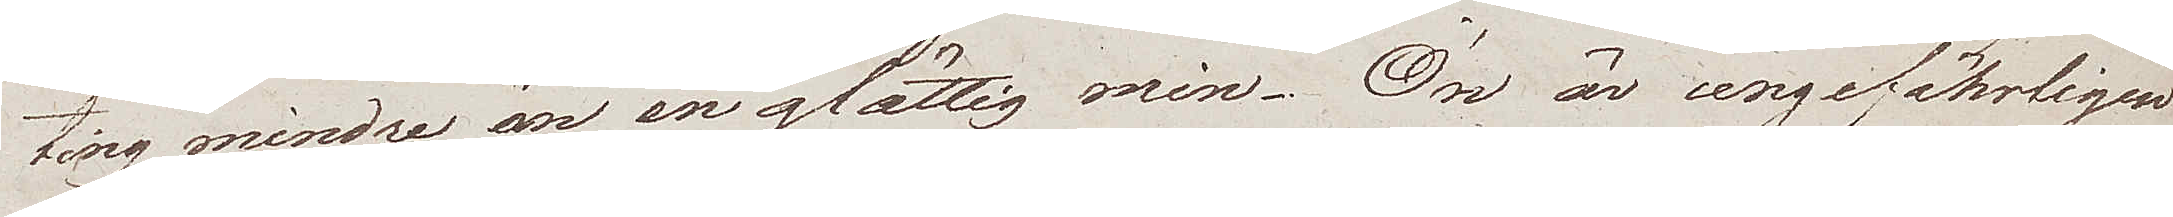ting mindre än en glättig mine. Ön är ungefährligen
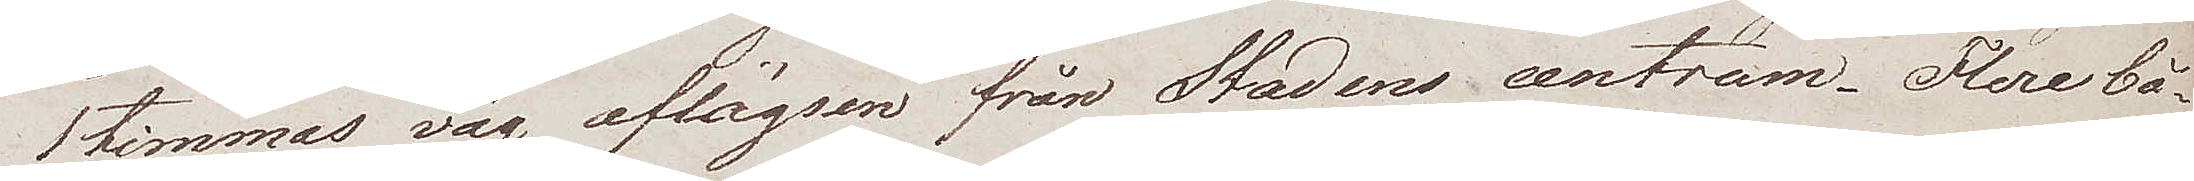1 timmas väg aflägsen från Stadens centrum. Flere bå¬
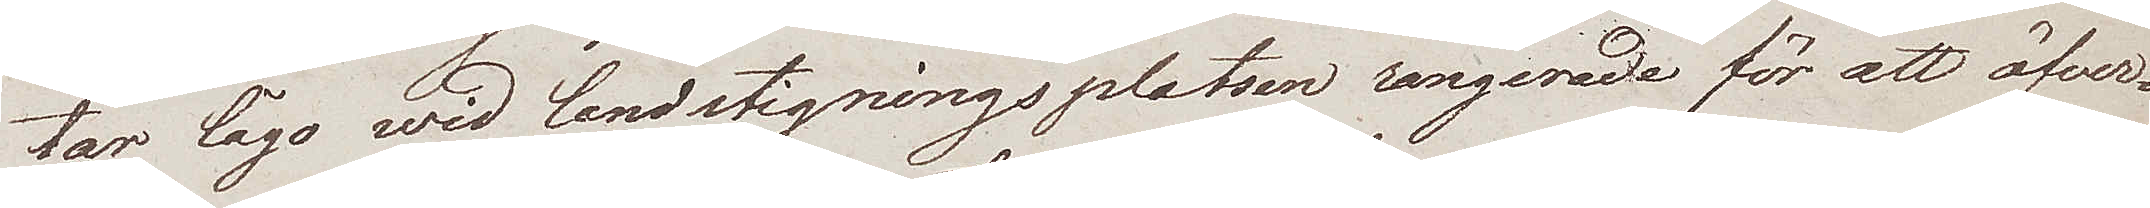tar lågo wid landstigningsplatsen rangerade för att öfver¬
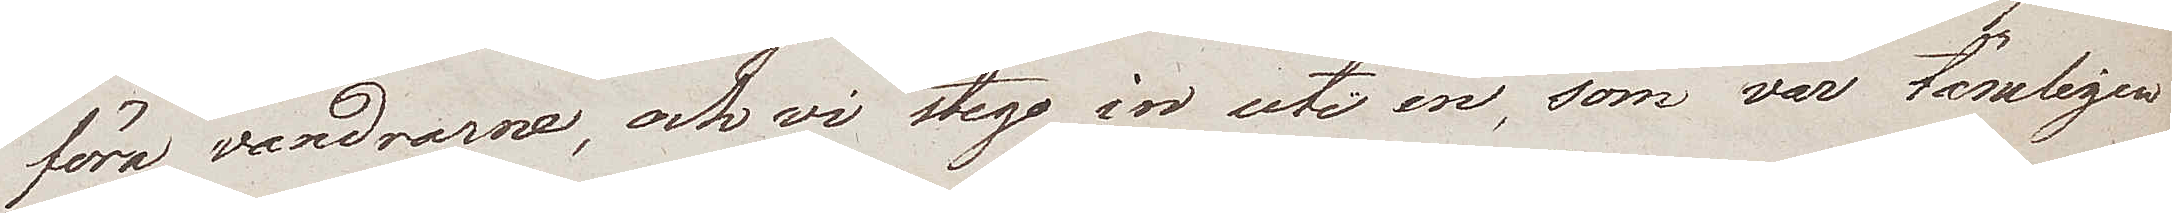föra vandrarne, och vi steg in uti en, som var tämligen
